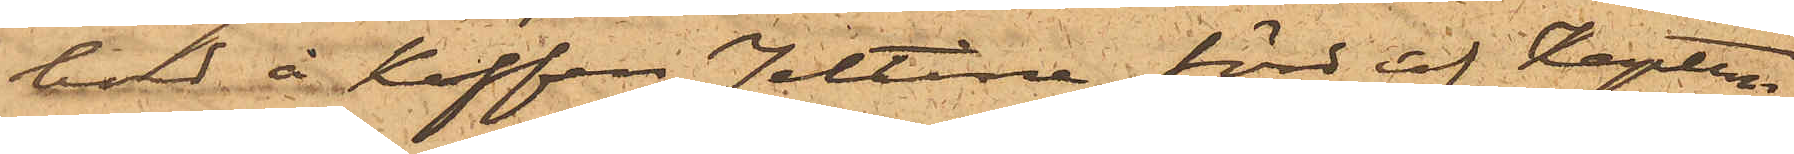bord å Koffen Jeltina, förd af Kaptenen
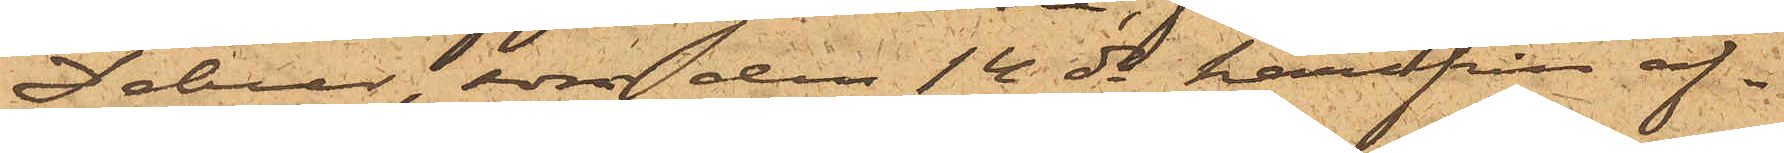Deboer, som den 14 ds härifrån af ¬
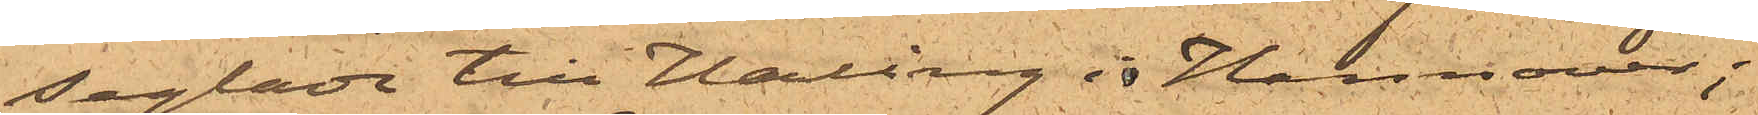seglade till Harlingen och Hannover;
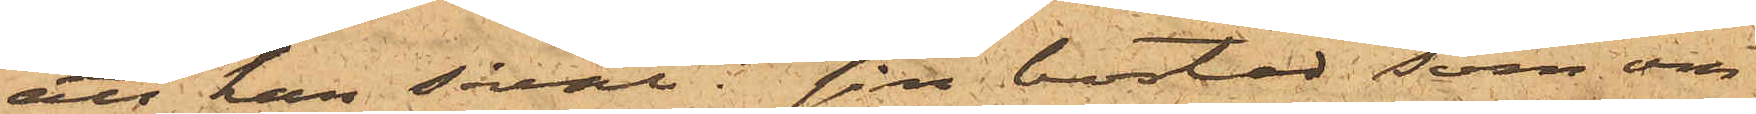att han såväl i sin bostad som om¬
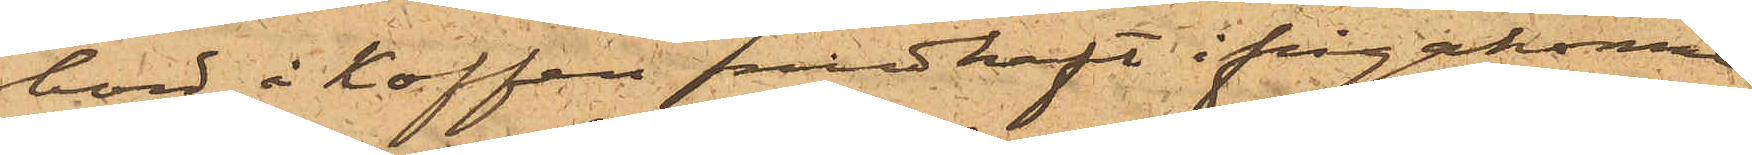bord å Koffen medhaft ifrågakomne
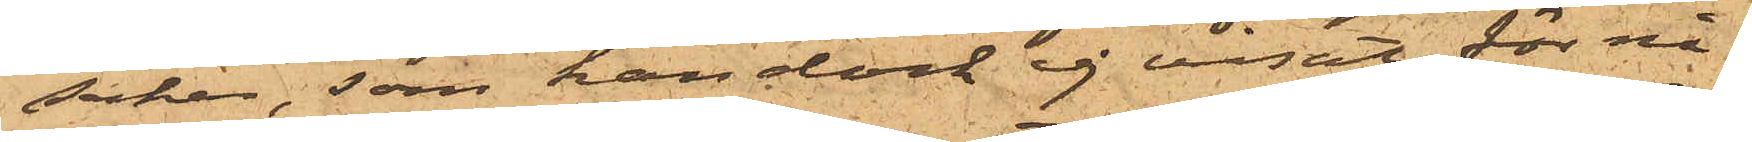saker, som han dock ej visat för nå¬
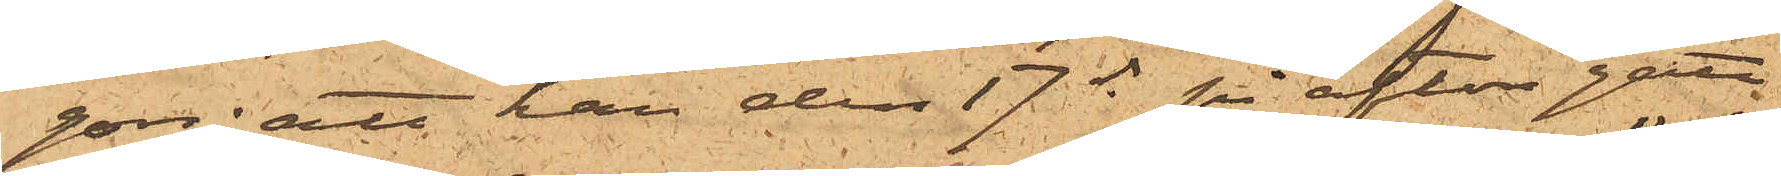gon; att han den 17 ds på afton gått
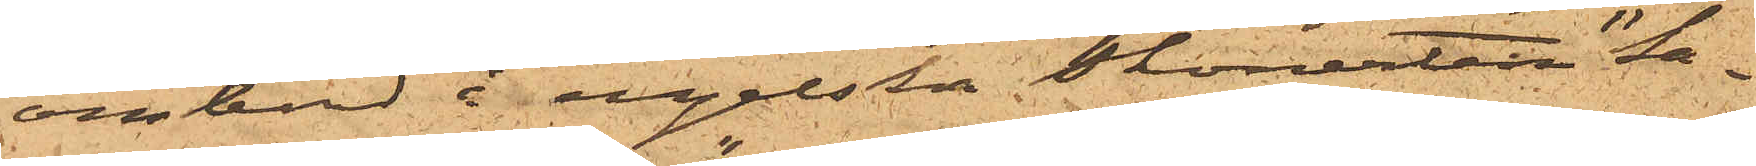ombord i engelska skonerten "Sa¬
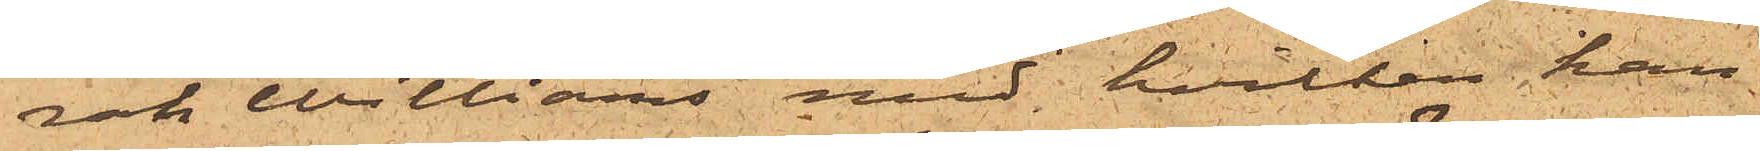rah Williams" med hvilken han
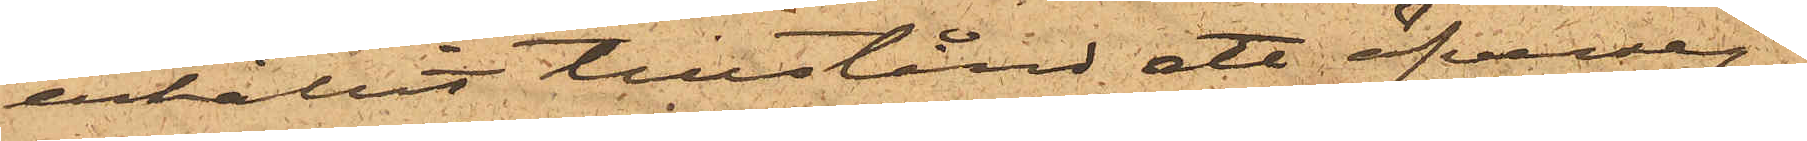erhållit tillstånd ett öfverseg¬
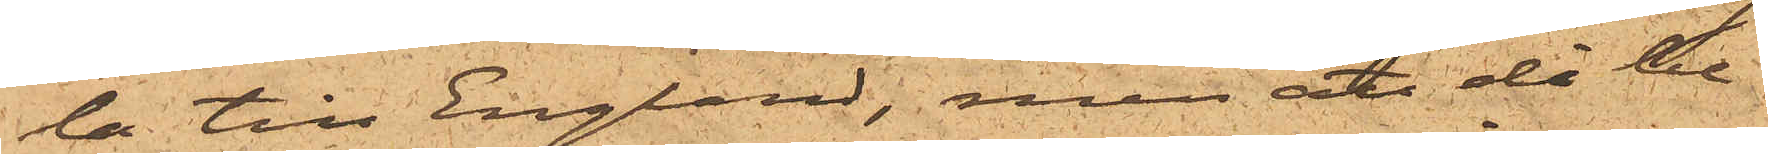la till England, men att då be¬
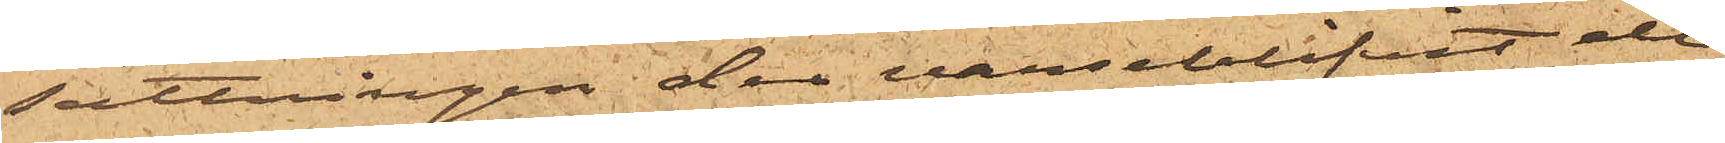sättningen der varseblifvit de
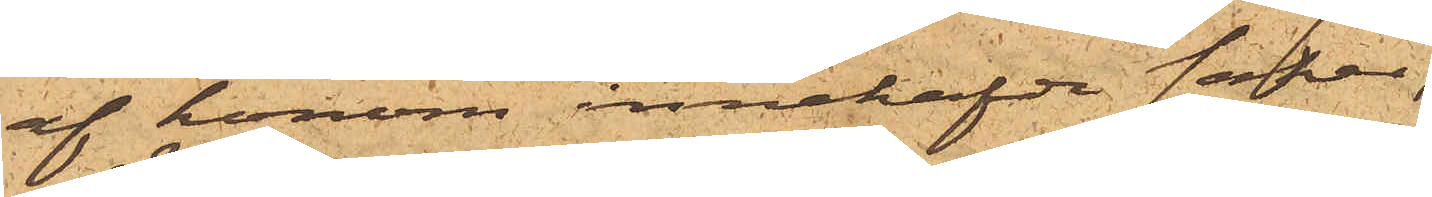af honom innehafde saker,
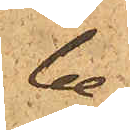be¬
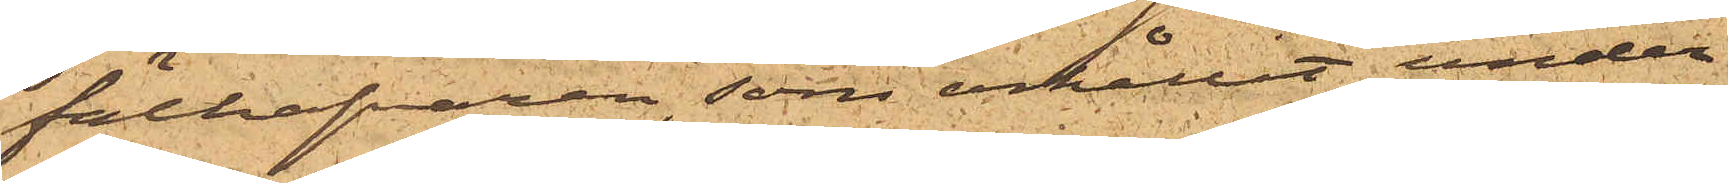fälhafvaren, som erhållit under¬
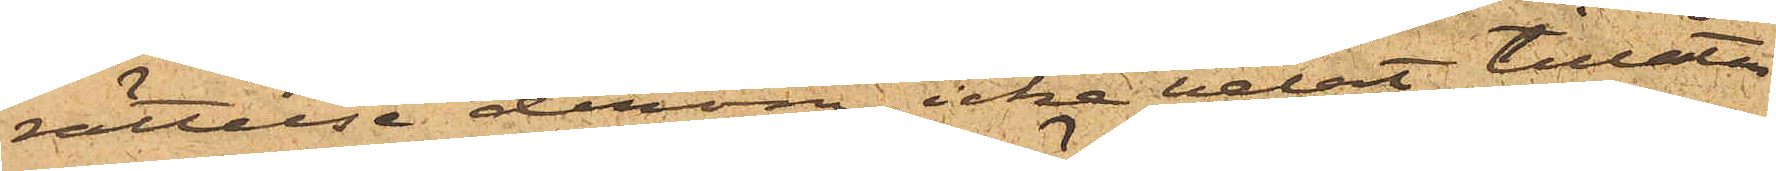rättelse derom, icke velat tillåta
